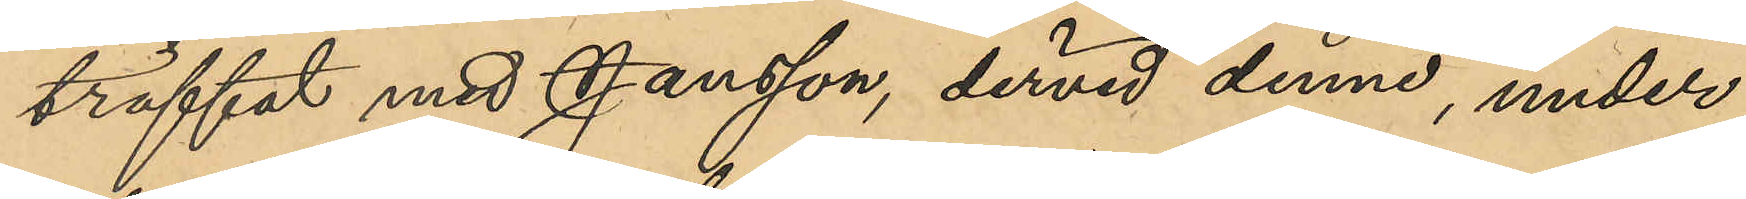träffat med Jansson, dervid denne, under
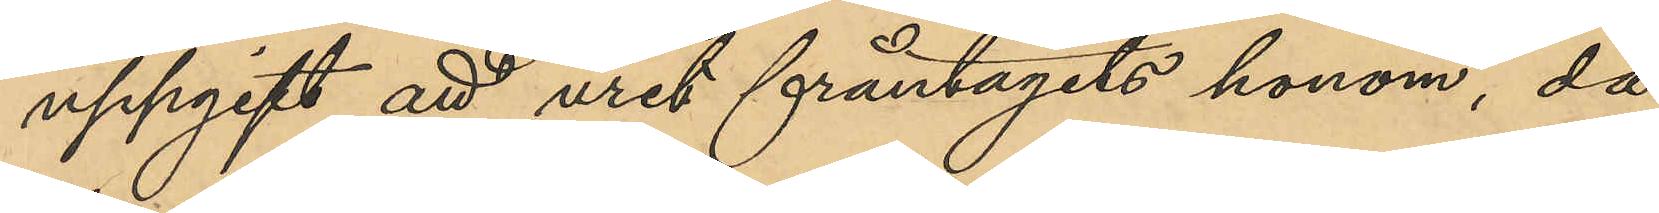uppgift att uret fråntagits honom, då
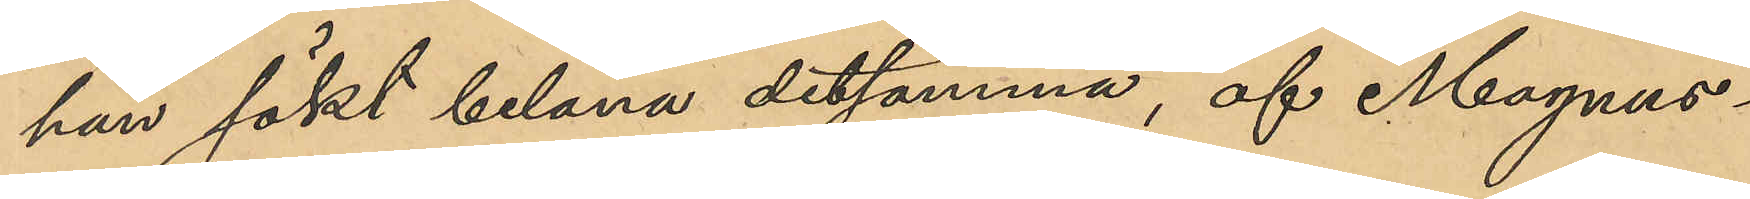han sökt belåna detsamma, af Magnus¬
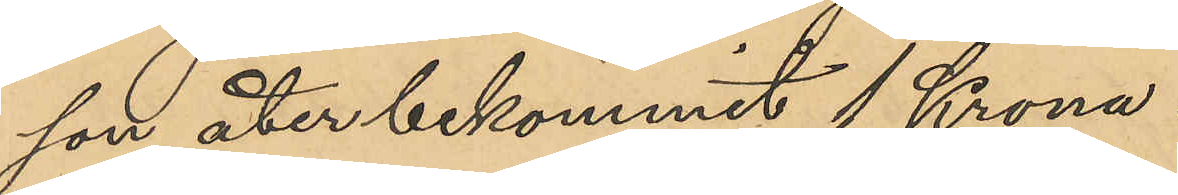son åter bekommit 1 Krona.
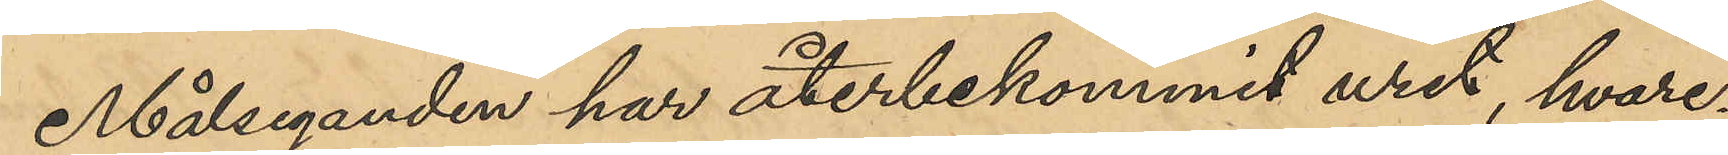Målseganden har återbekommit uret, hvare¬
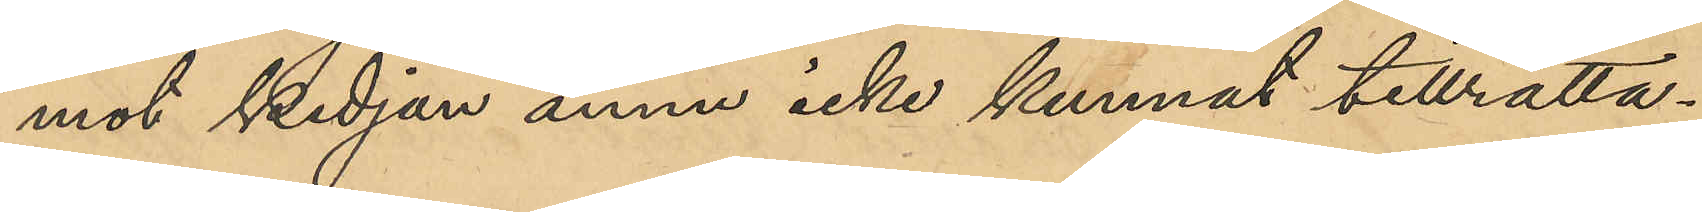mot kedjan ännu icke kunnat tillrätta¬
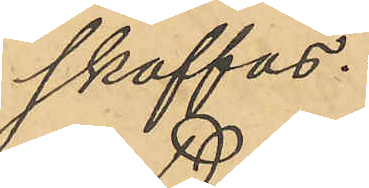skaffas.
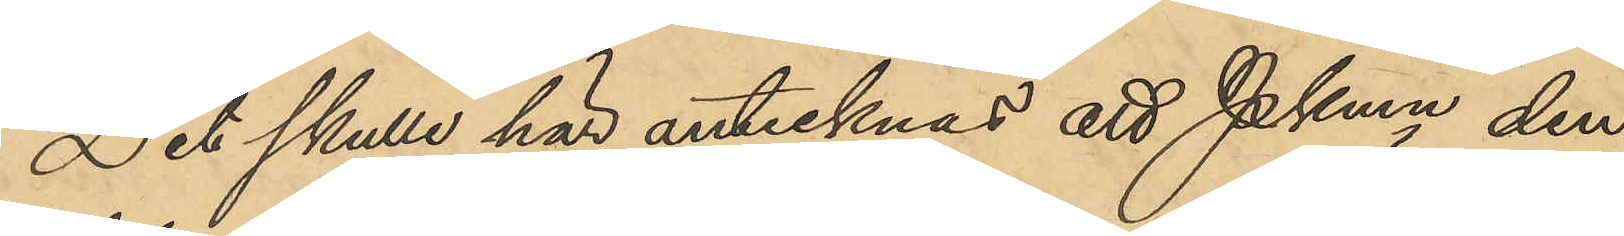Det skulle här antecknas att Pkmn den
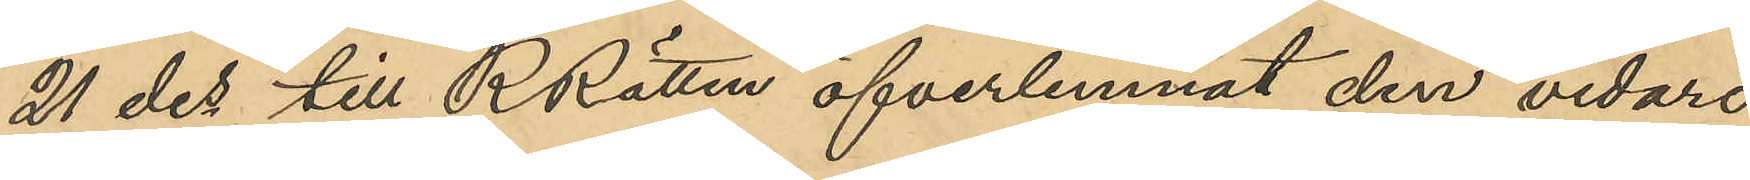21 des till RRätten öfverlemnat den vidare
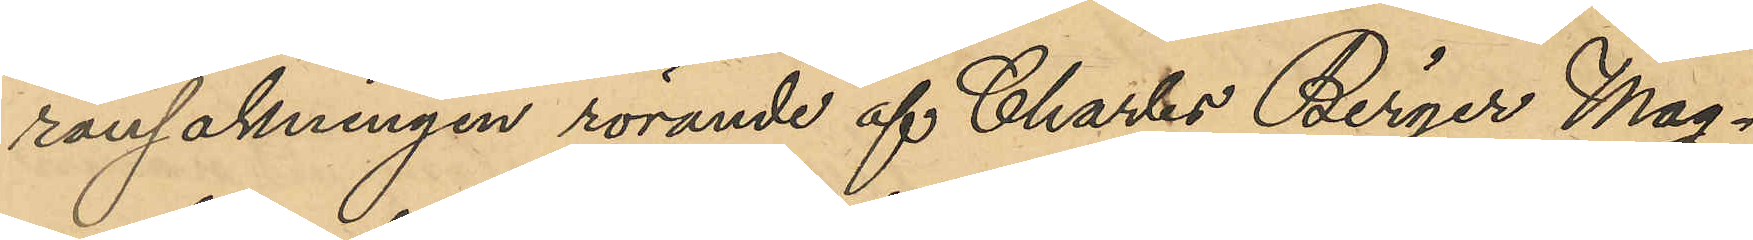rannsakningen rörande af Charles Birger Mag¬
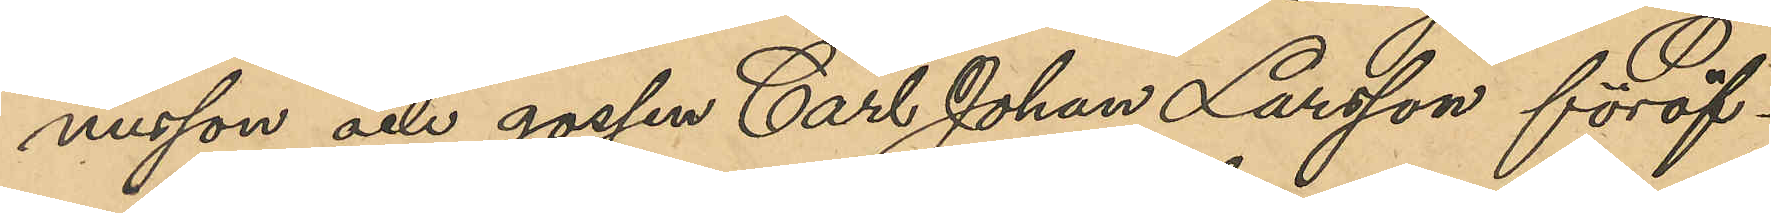nusson och gossen Carl Johan Larsson föröf¬
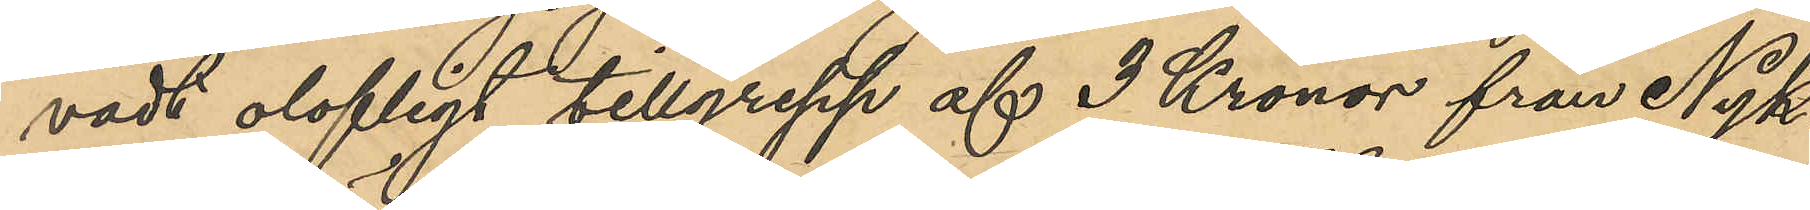vadt olofligt tillgrepp af 3 Kronor från Nyk¬
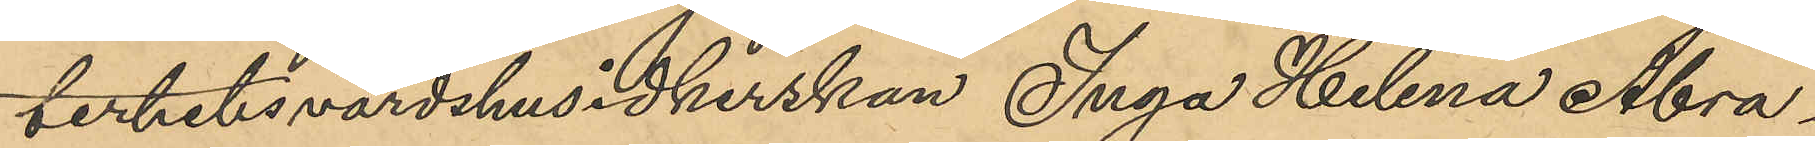terhetsvärdshusidkerskan Inga Helena Abra¬
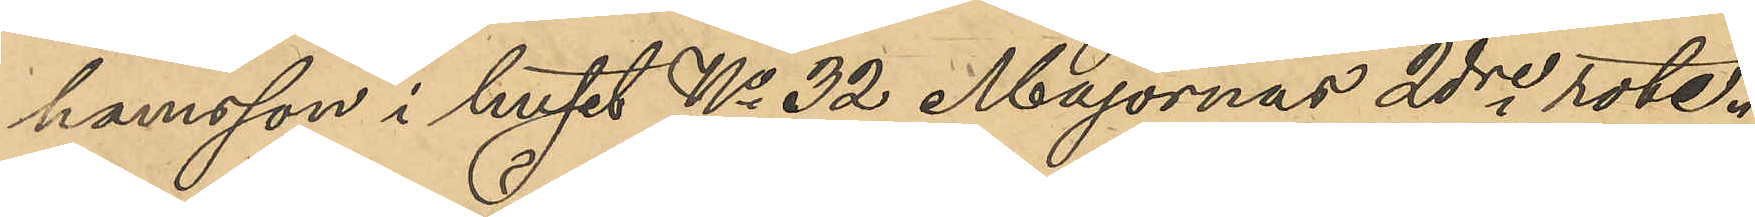hamsson i huset No 32 Majornas 2dre rote.
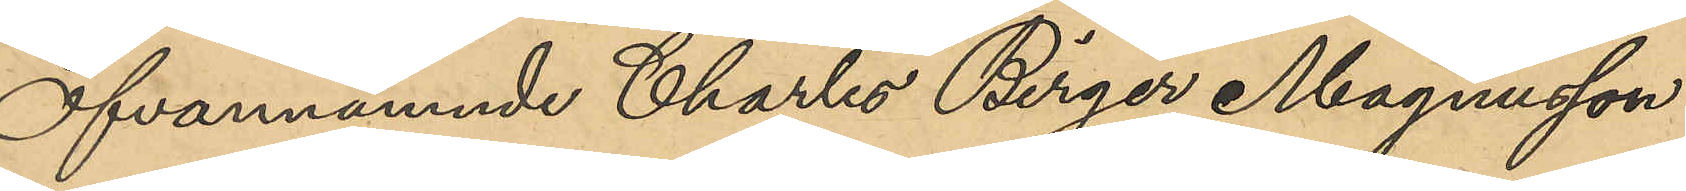Ofvannämnde Charles Birger Magnusson
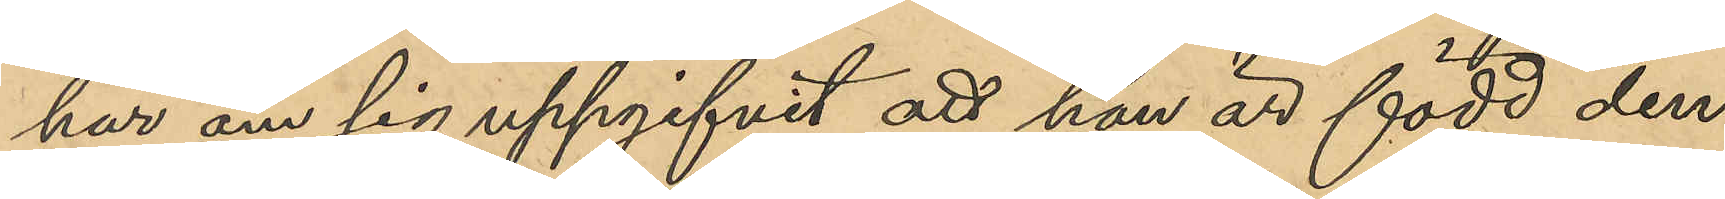har om sig uppgifvit att han är född den
